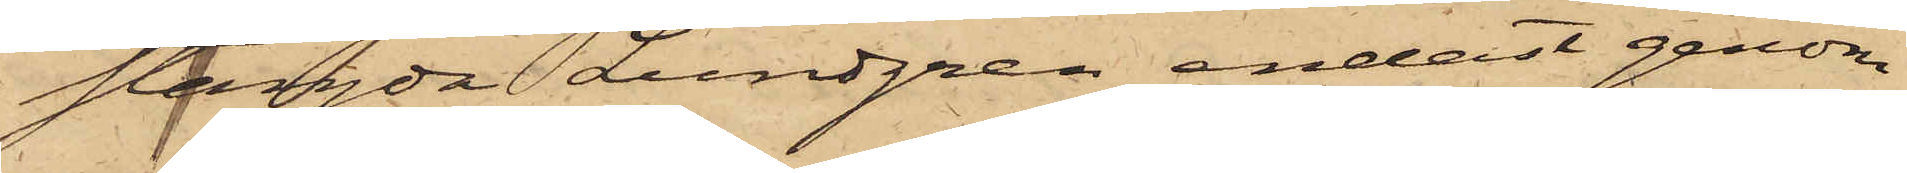stängda Lundgren endast genom
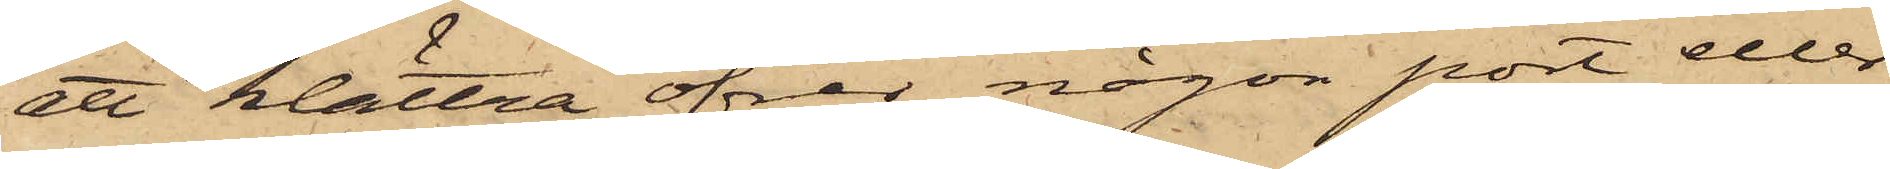ett klättra öfver någon port eller
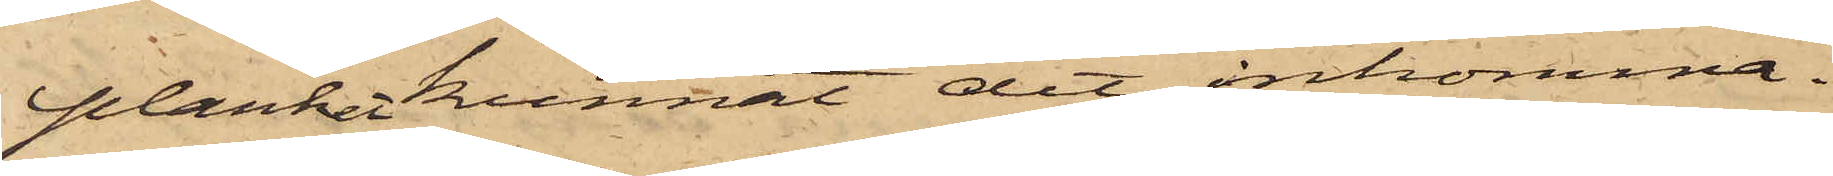planket kunnat dit inkomma.
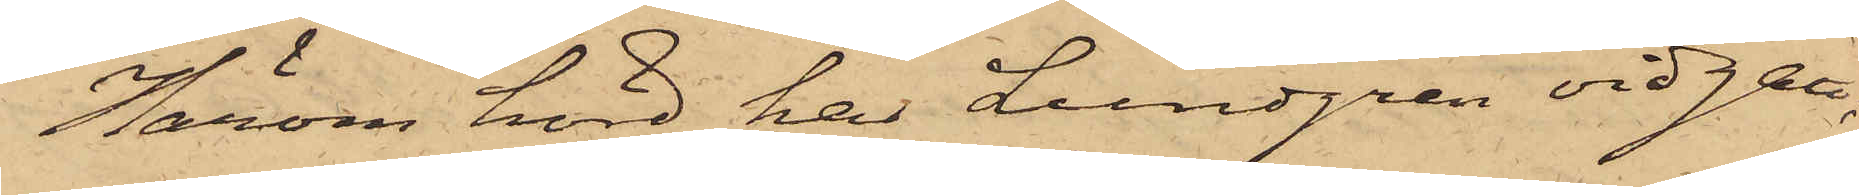Henom hörd har Lundgren vidgått;
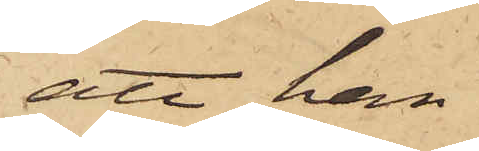att han
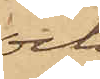och
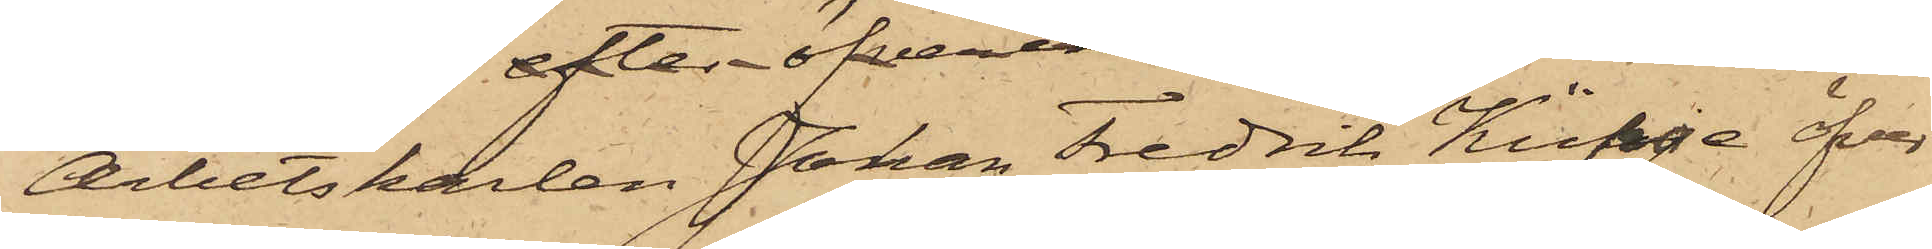Arbetskarlen Johan Fredrik Küpje öfver¬
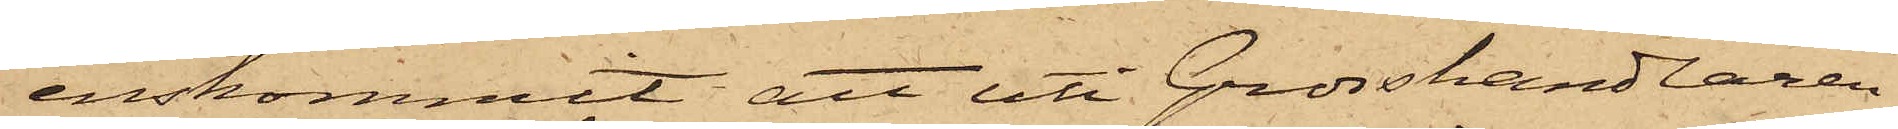enskommit att uti Grosshandlaren
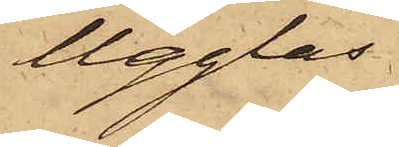Ugglas
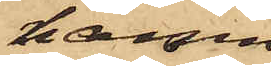hamn
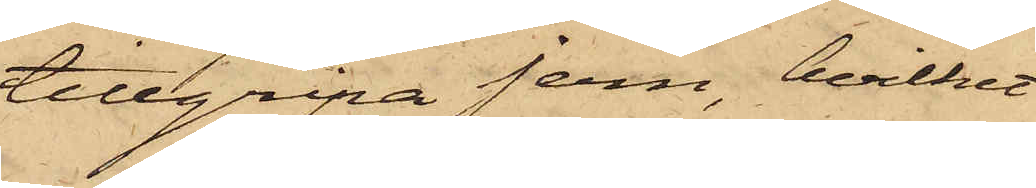tillgripa jern, hvilket
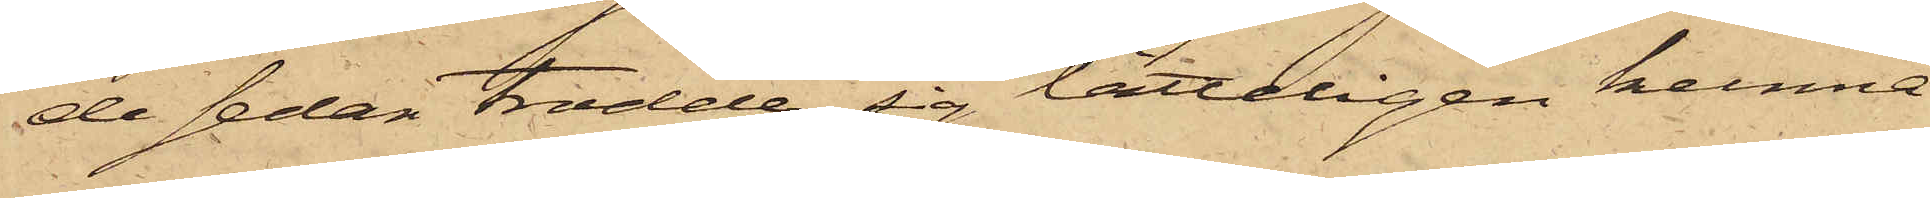de sedan trodde sig lätteligen kunna
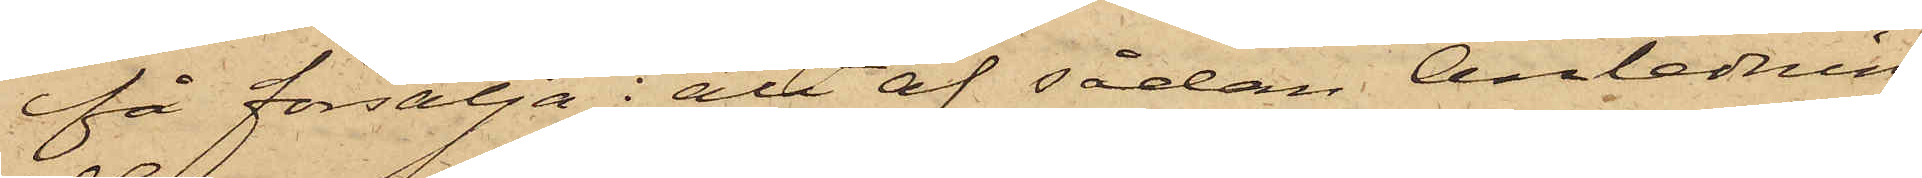få försälja; att af sådan Anledning
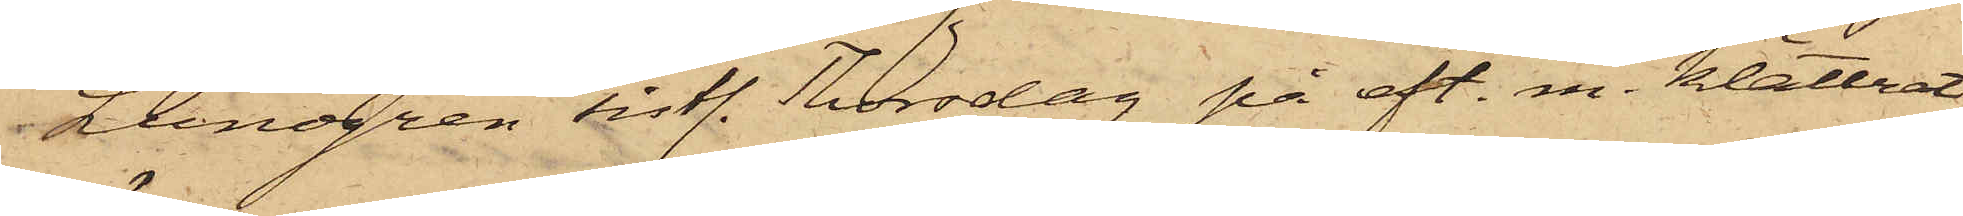Lundgren sistl. Thorsdag på eft. m. klättrat
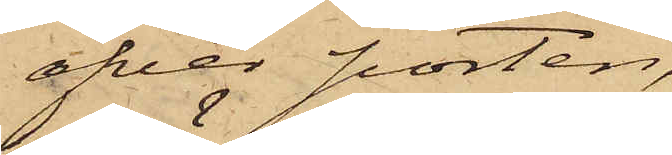öfver porten,
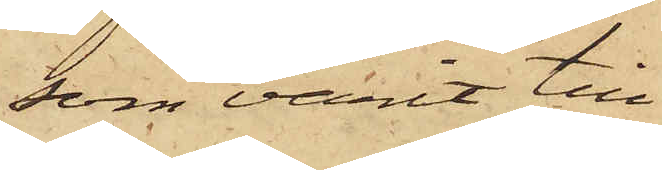som varit till¬
